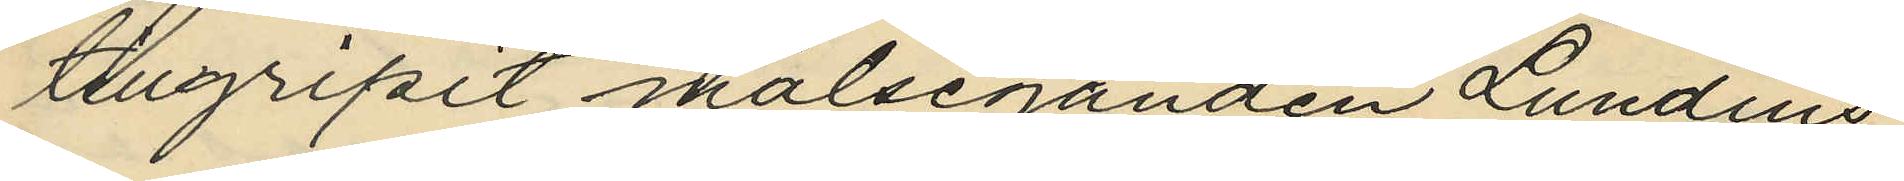tillgripit målseganden Lundins
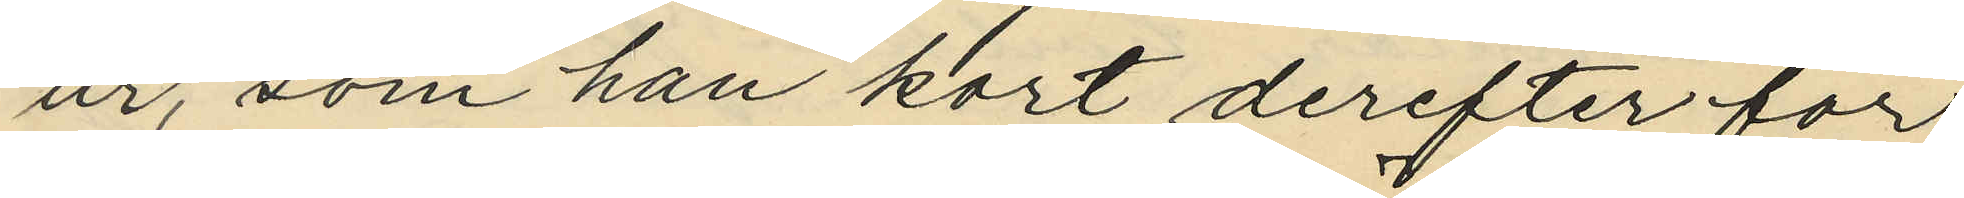ur, som han kort derefter för
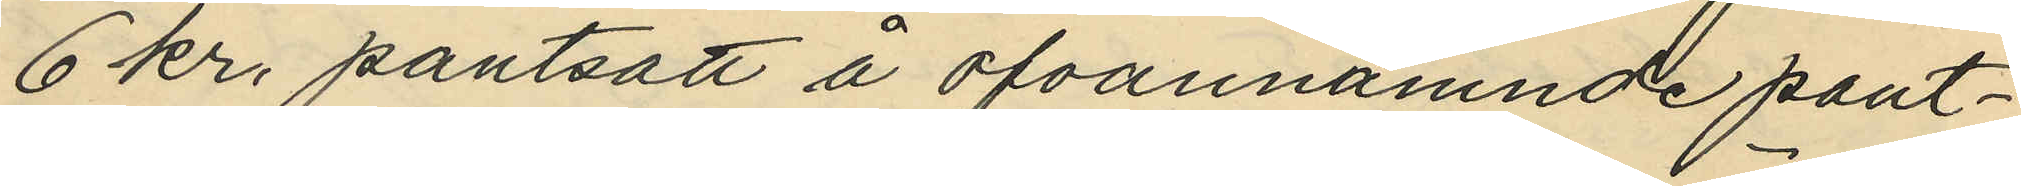6 kr. pantsatt å ofvannämnde pant¬
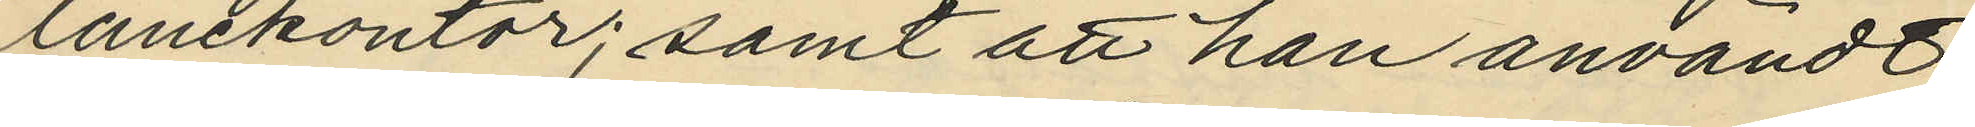lånekontor; samt att han användt
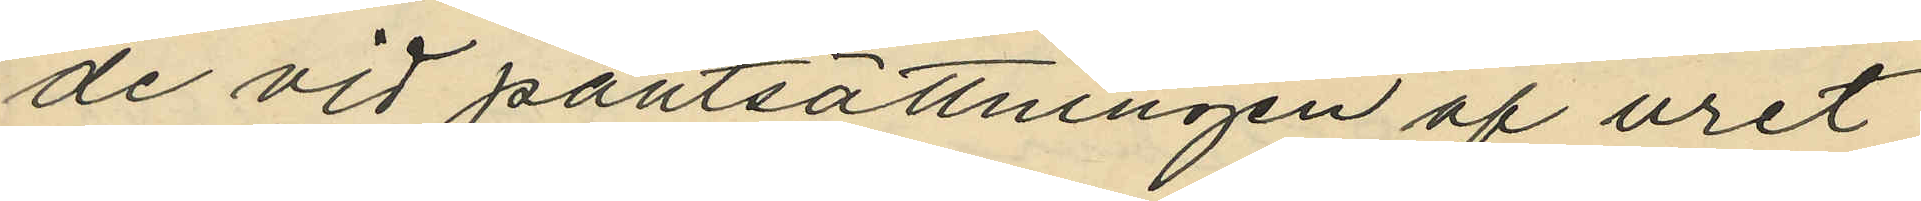de vid pantsättningen af uret
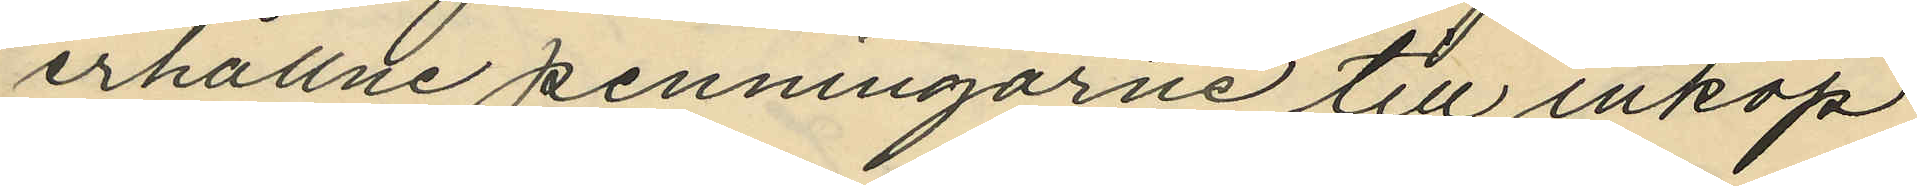erhållne penningarne till inköp
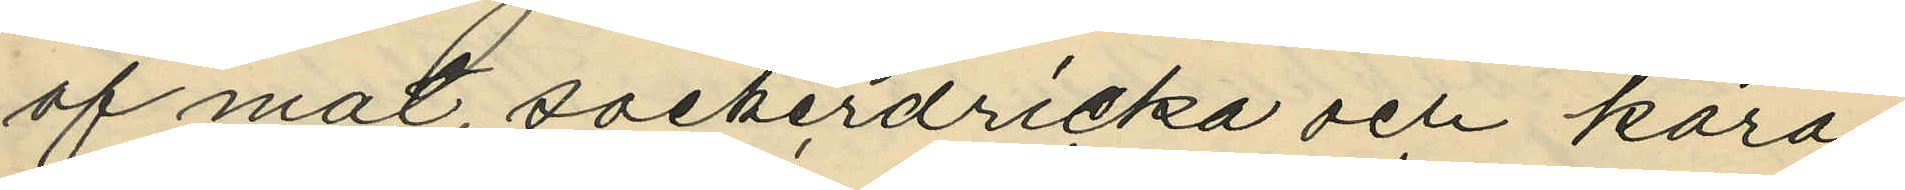af mat, sockerdricka och kara¬
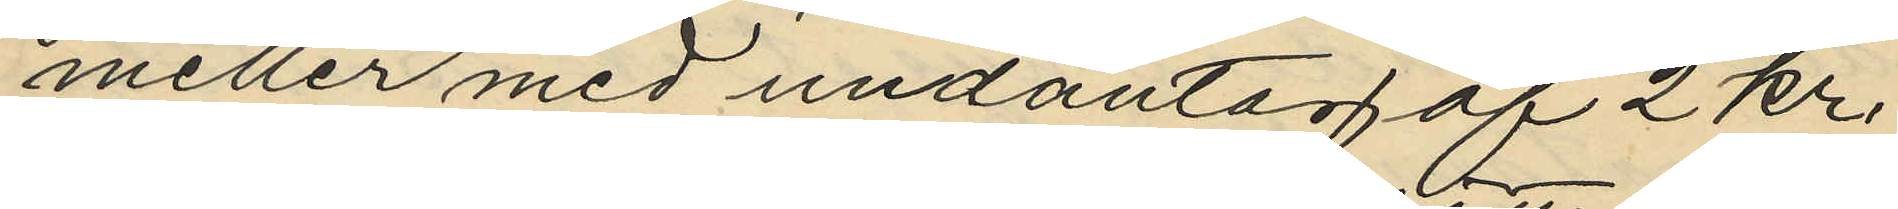meller med undantag af 2 kr.
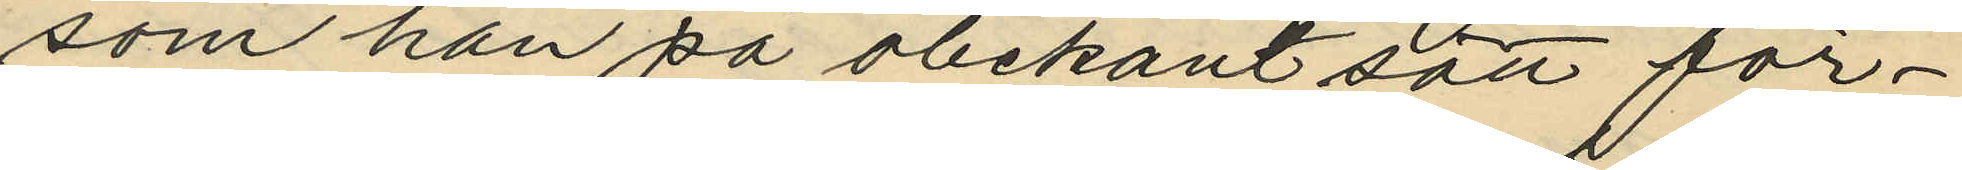som han på obekant sätt för¬
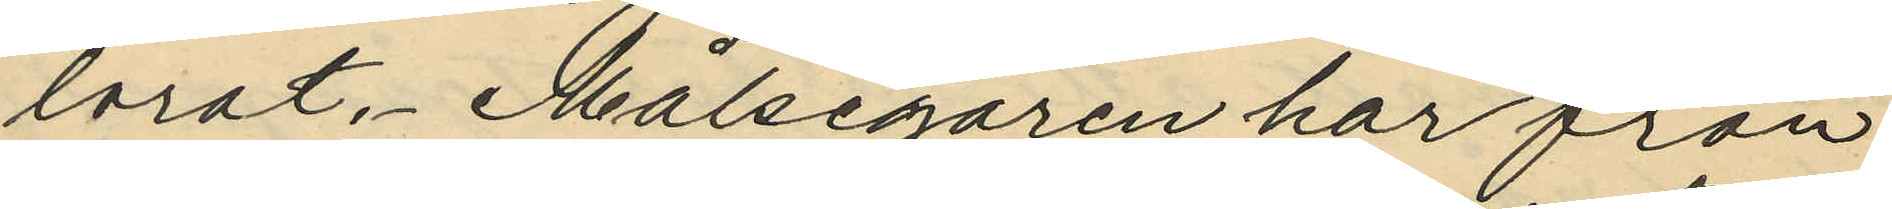lorat, Målsegaren har från
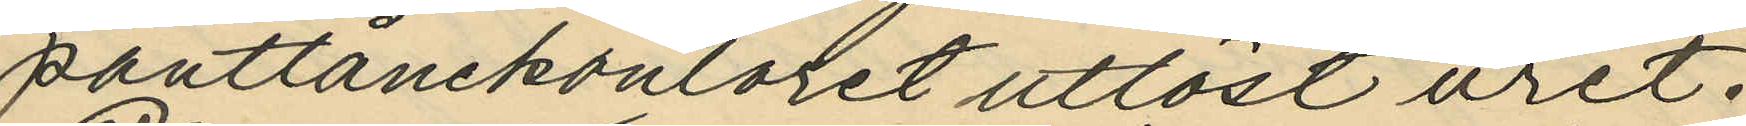pantlånekontoret utlöst uret.
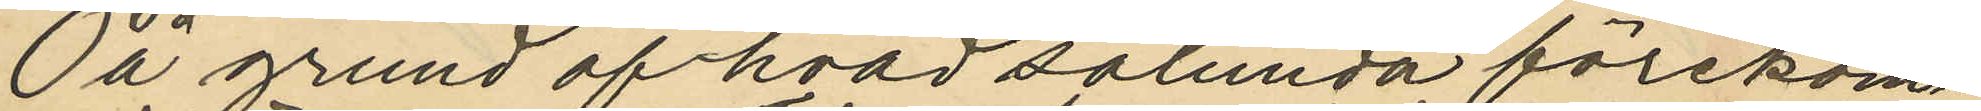På grund af hvad sålunda förekom¬
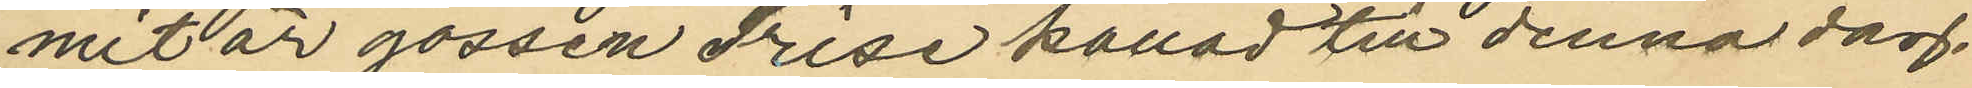mit är gossen Frise kallad till denna dag.
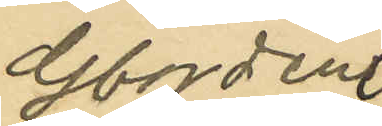Gbg den
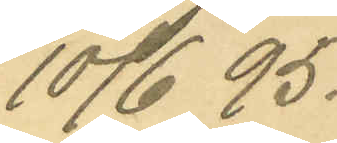10/6 95.
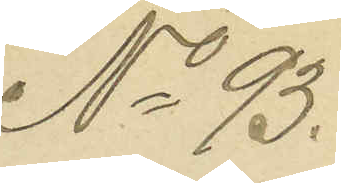No 93.
